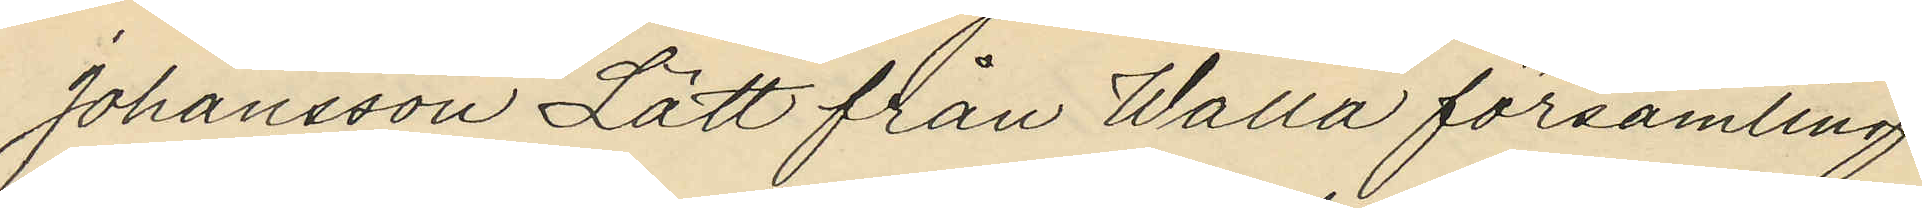Johansson Lätt från Walla församling
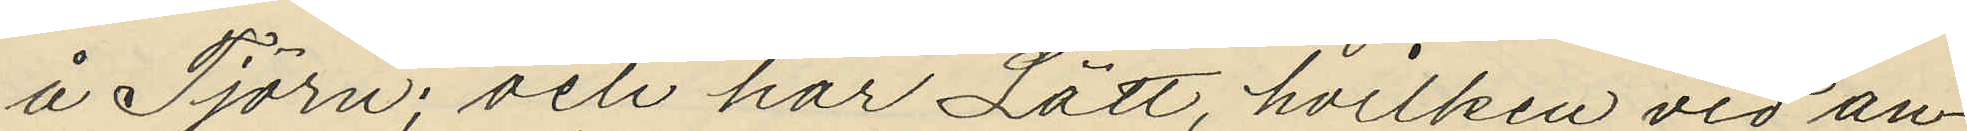å Tjörn; och har Lätt, hvilken vid an¬
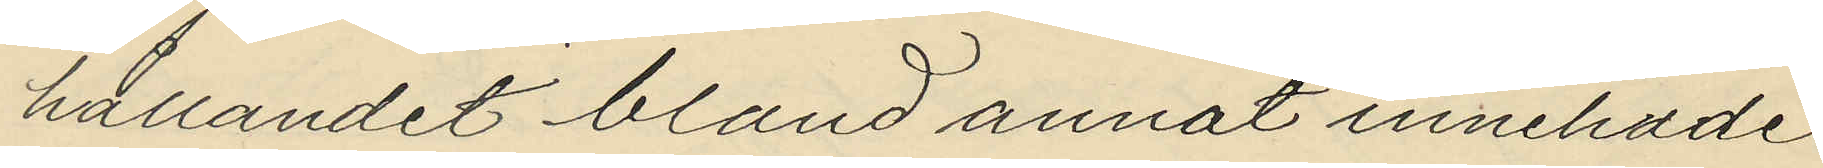hållandet bland annat innehade
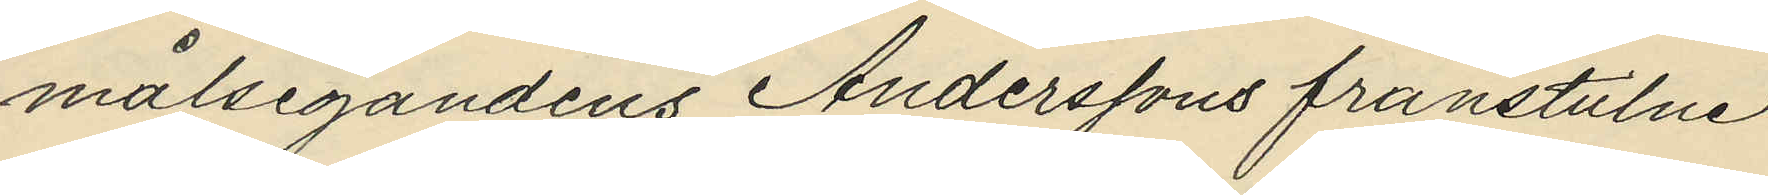målsegandens Anderssons frånstulne
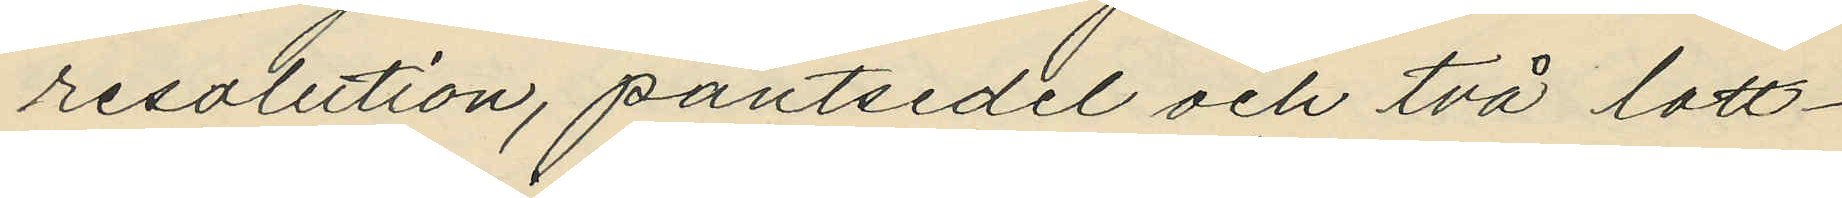resolution, pantsedel och två lott¬
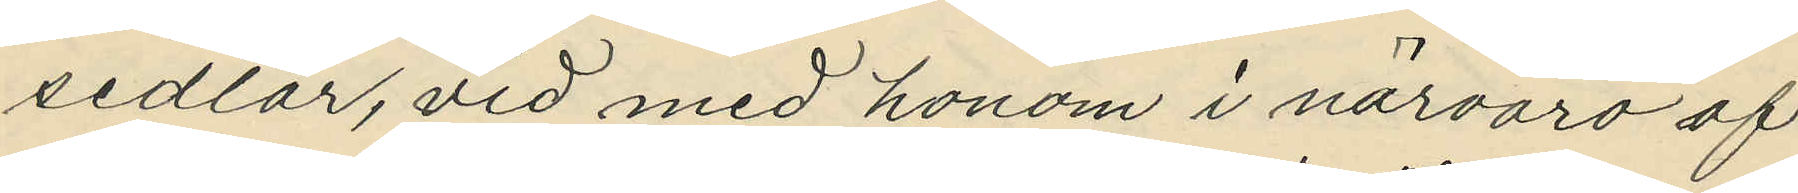sedlar, vid med honom i närvaro af
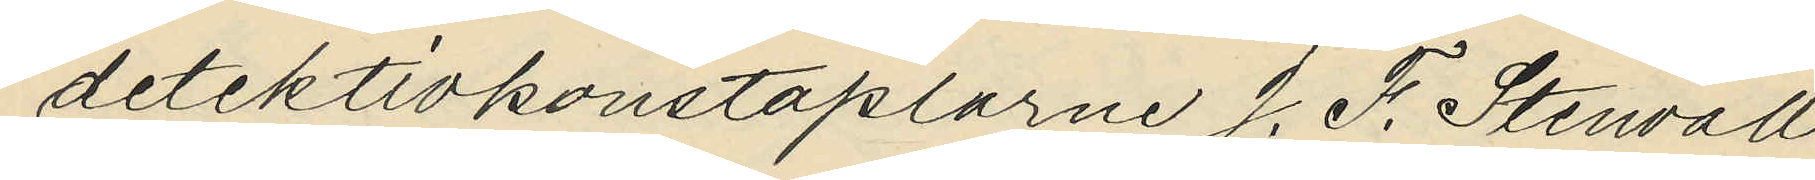detektivkonstaplarne J. F. Stenvall
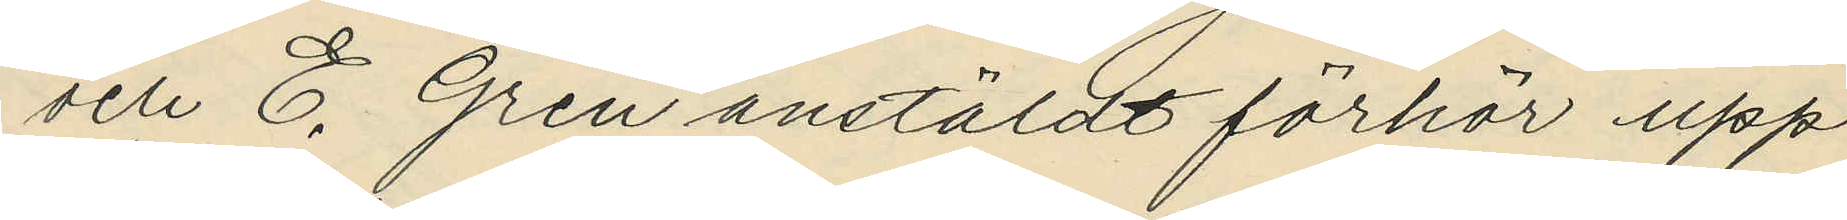och E. Gren anstäldt förhör upp¬
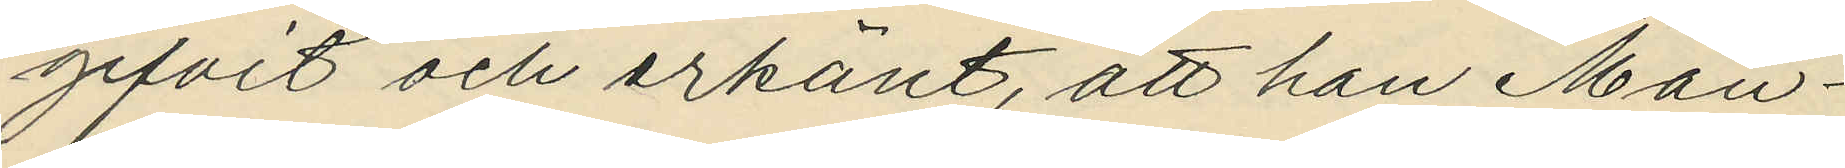gifvit och erkänt, att han Mån¬
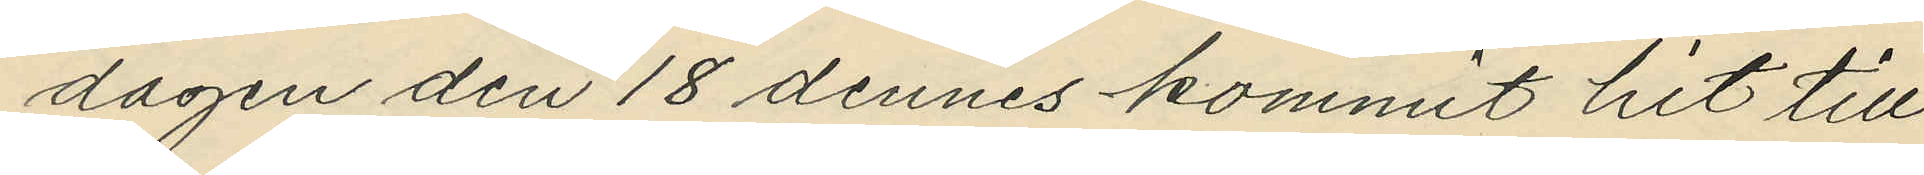dagen den 18 dennes kommit hit till
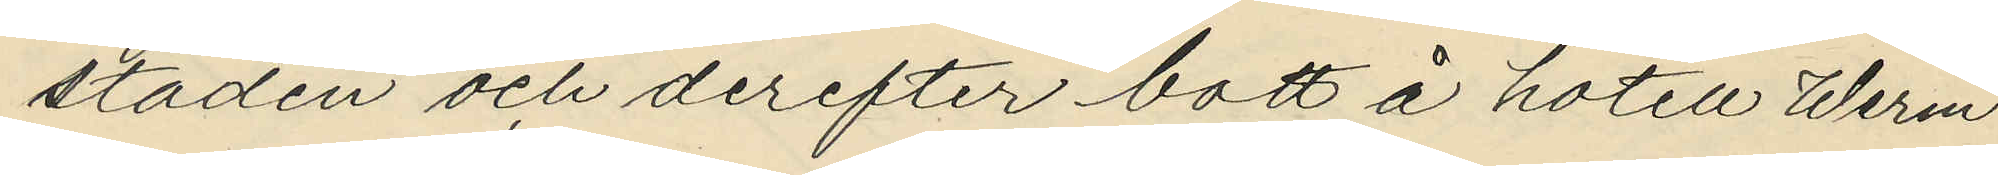staden och derefter bott å hotell Werm¬
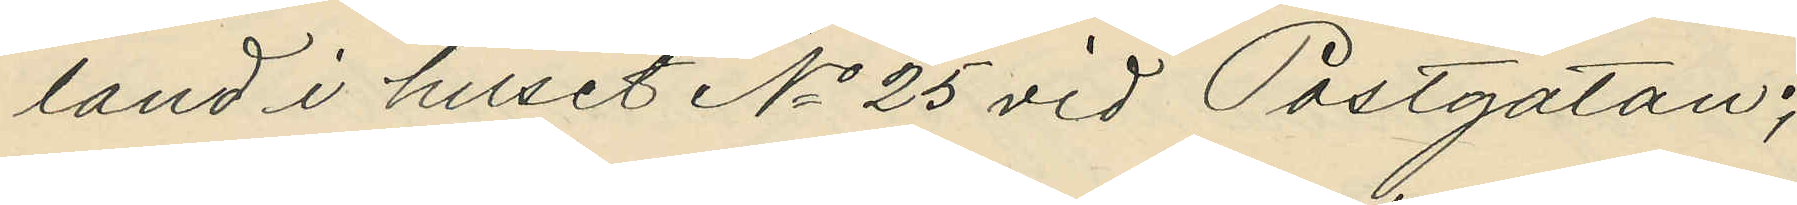land i huset No 25 vid Postgatan;
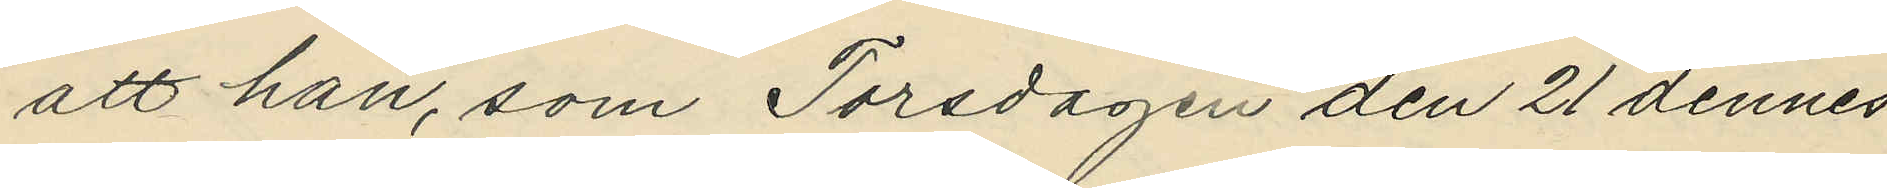att han, som Torsdagen den 21 dennes
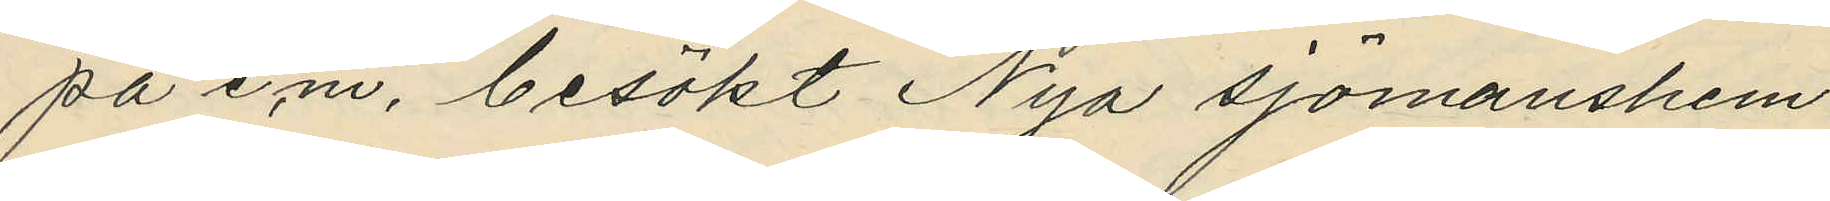på e.m. besökt Nya sjömanshem¬
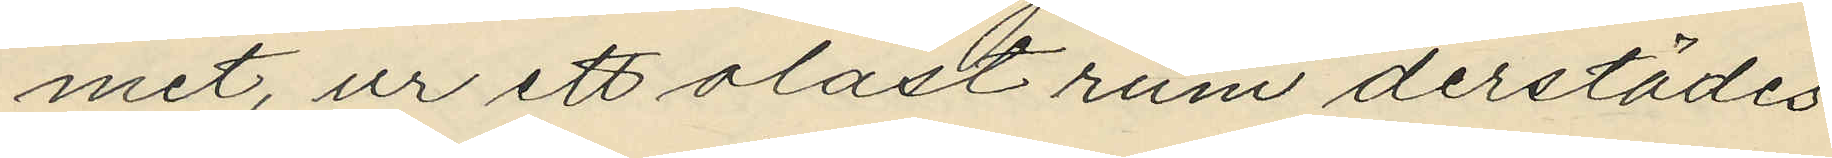met, ur ett olåst rum derstädes
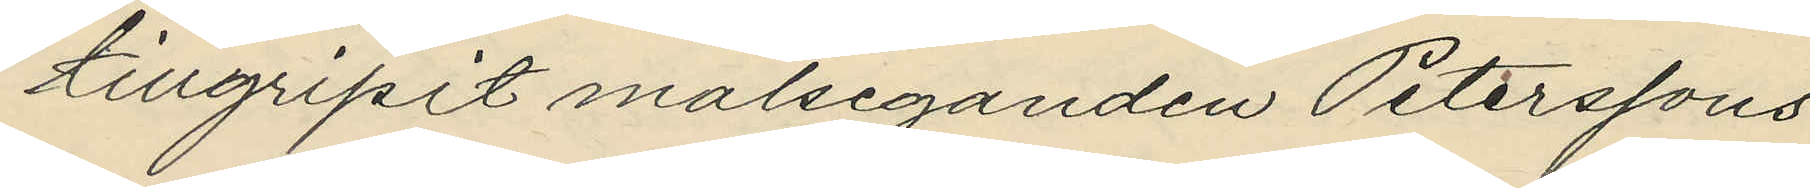tillgripit målseganden Peterssons
